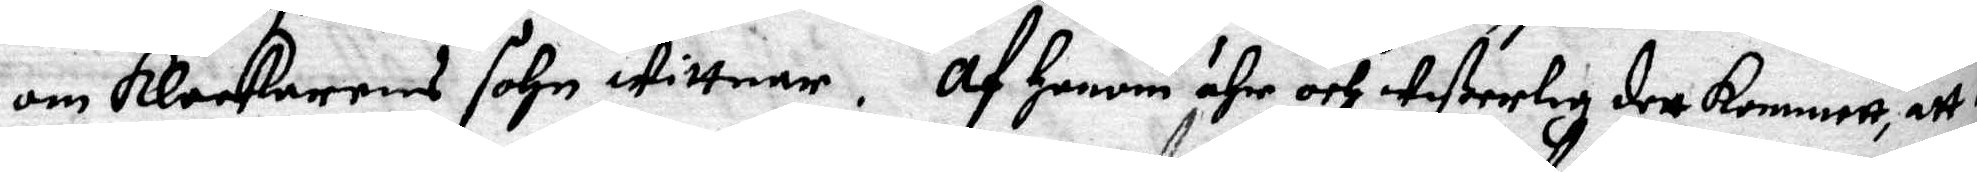om klockarens sohn wittnar. Af Honom ähr och wißerlig dett kommett att
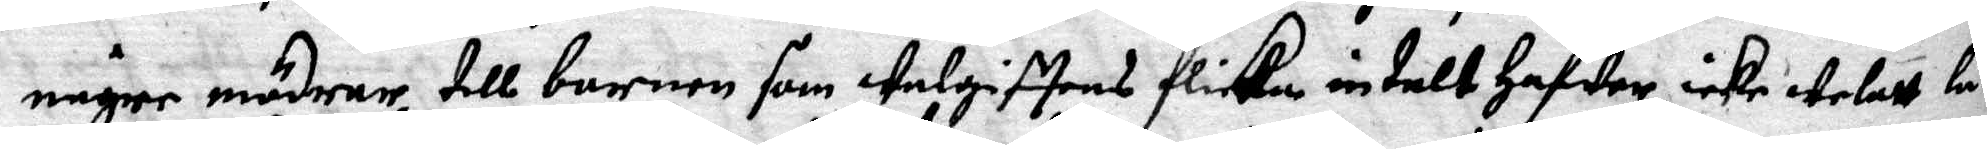någre mödrar till barnen som welgifttens flicka intalt Hafwer, icke welat låta
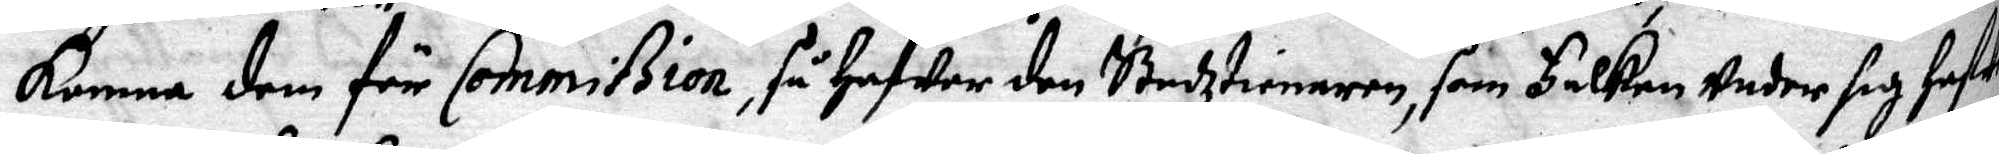komma dem för Commißion, så Hafwer den Stadztieneren, som Falken under sig hafwa
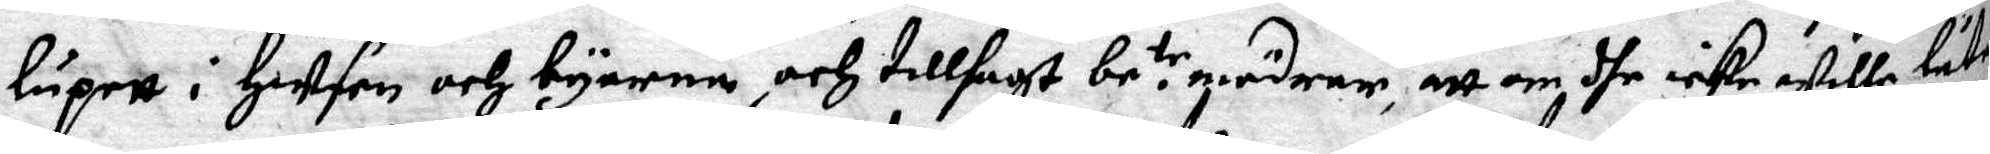lupett i Husen och byarna, och tillsagt be.tr mödrar, att om dhe icke wille låta
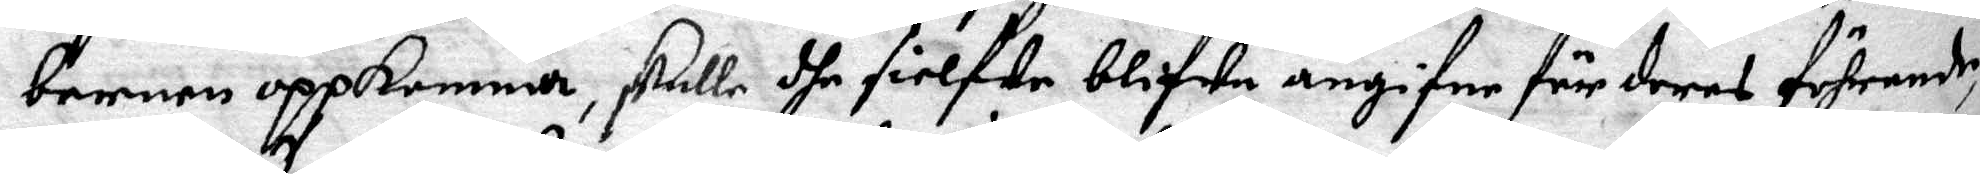barnen uppkomma, skulle dhe sielfwe blifwa angifne för deras förhrande,
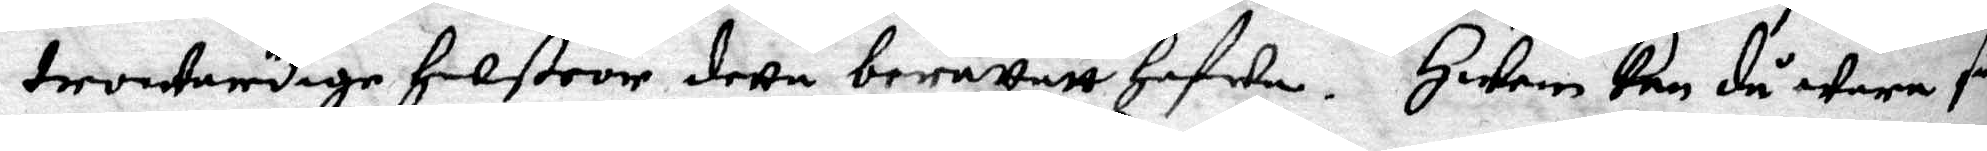trowerdige Hustror dette beräattatt Hafwa. Hwem kan så wara så
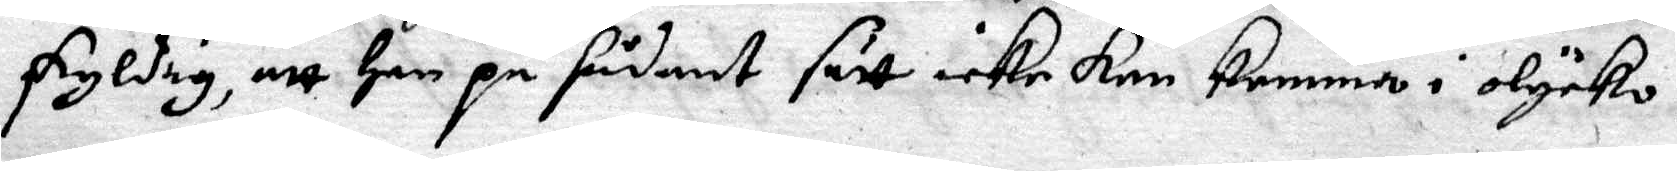skyldig, att han på sådant sätt icke kan komma i olycko!
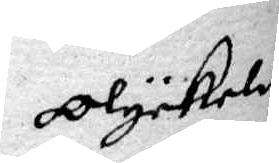Olykeligen
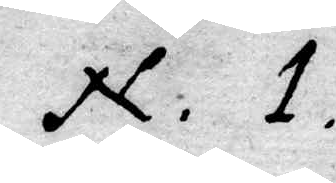N.1.
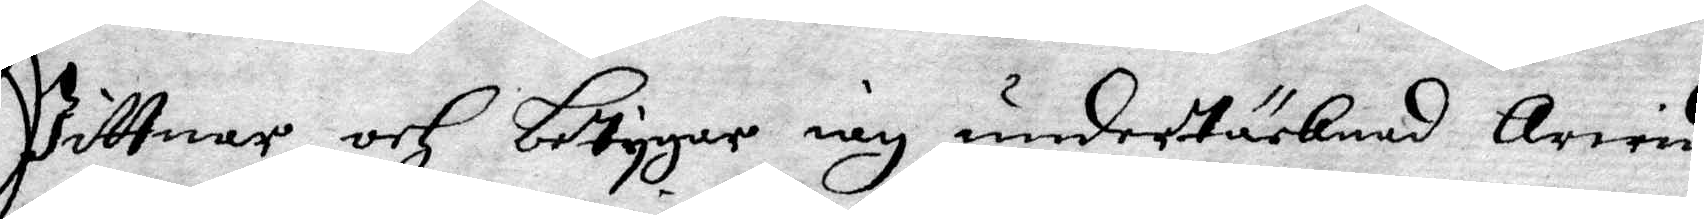Wittnar och betygar iag undertäcknad Arvid
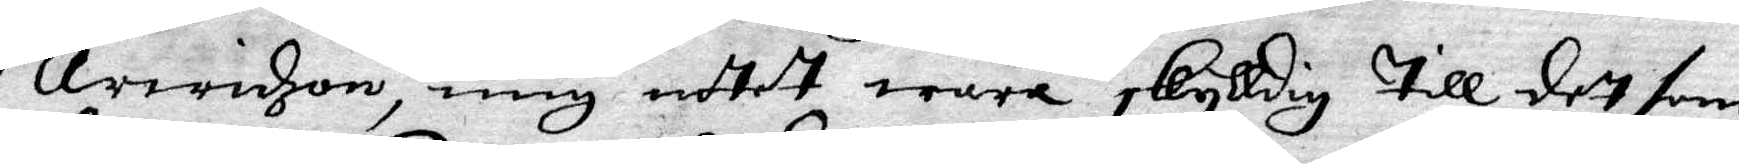Arvidzon, mig intet wara skylldig till det som
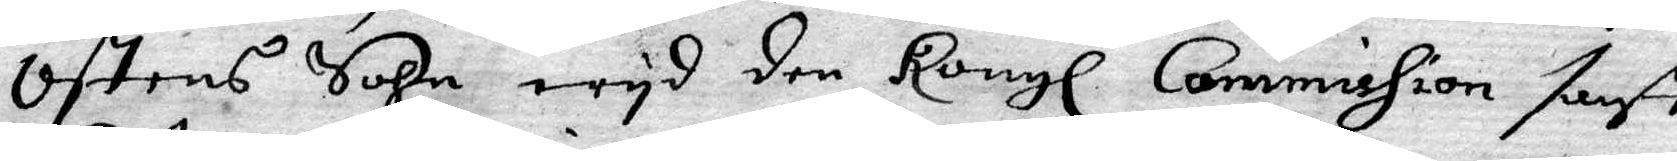Östens sohn wyd den Kongl Commission sagt
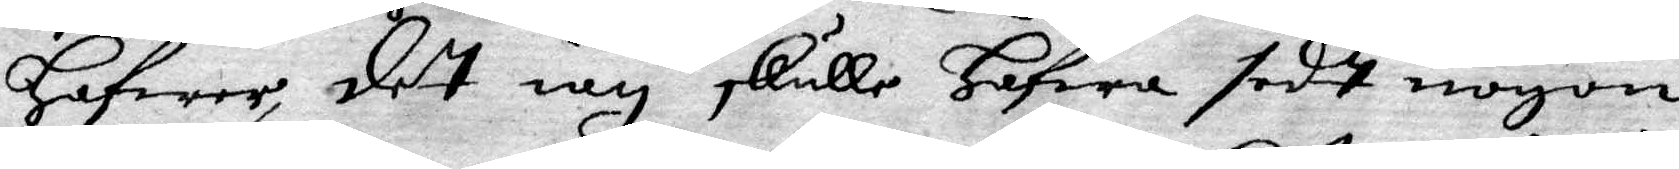Hafwer, det iag skulle hafwa sedt nogon
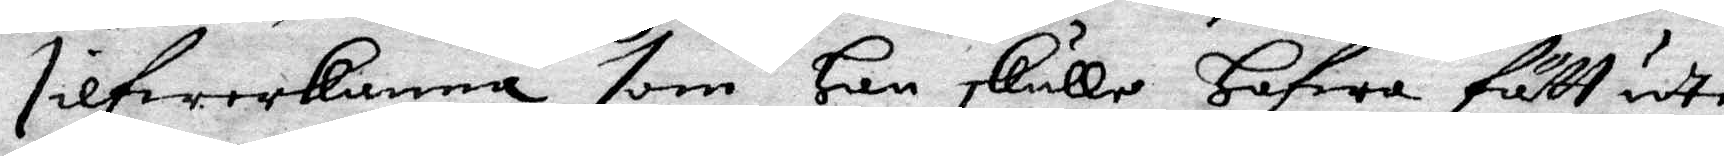silfwerkanna som Han skulle Hafwa fått uti
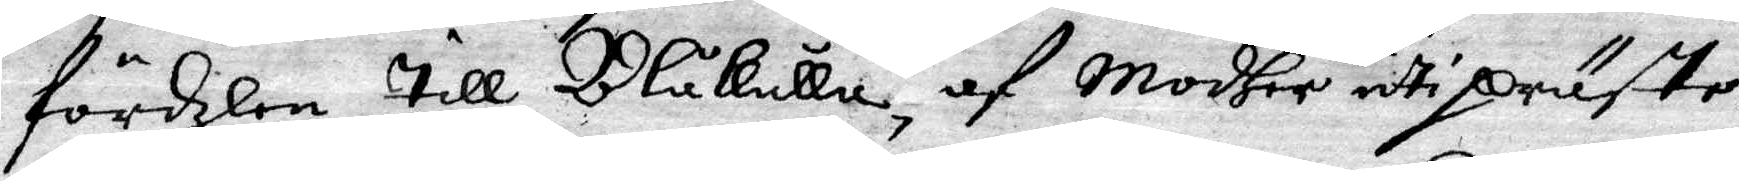fördzlen till Blåkulla, af Modher uti präste¬
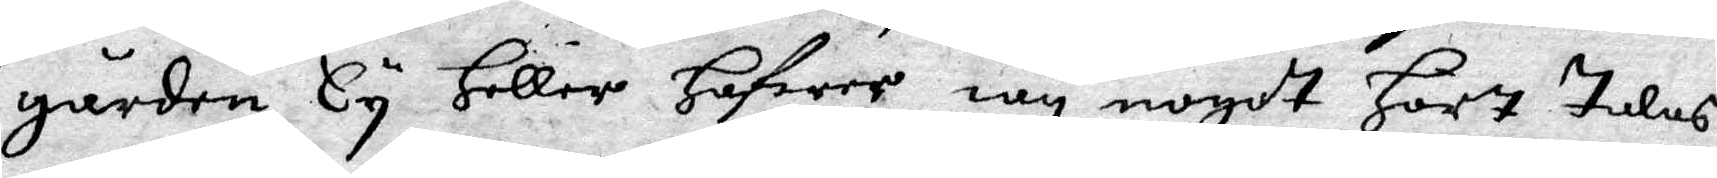gården, ty Heller Hafwer iag nogot Hört Talas
